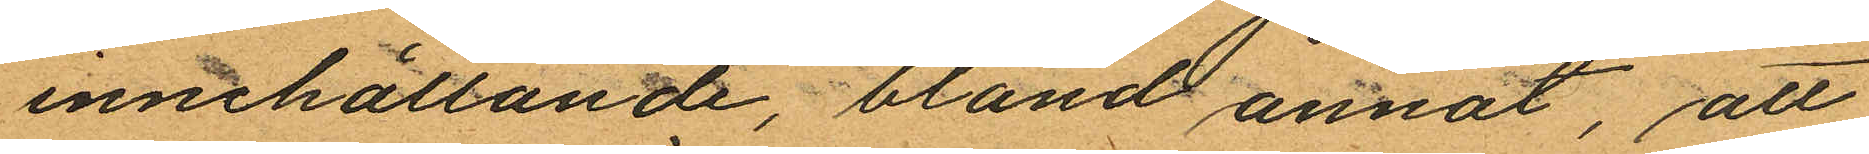innehållande, bland annat, att
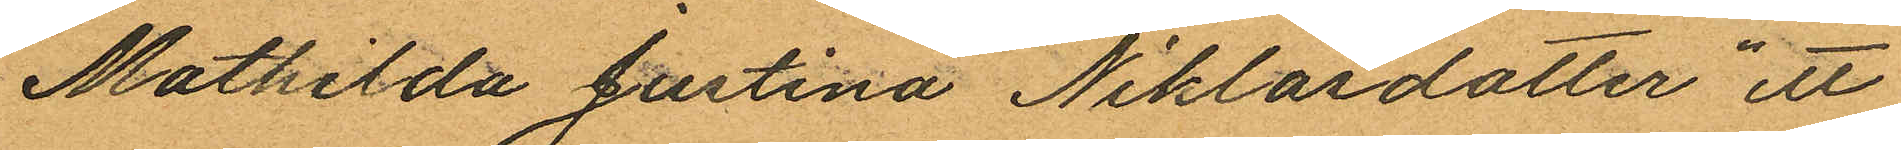Mathilda Justina Niklasdotter ett
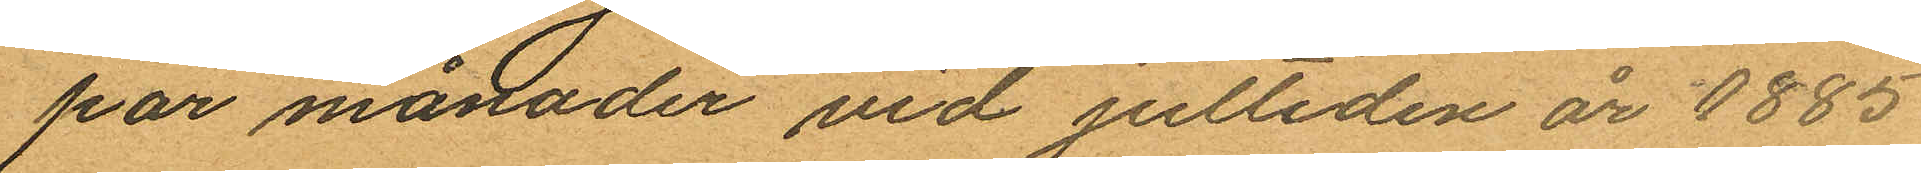par månader vid jultiden år 1885
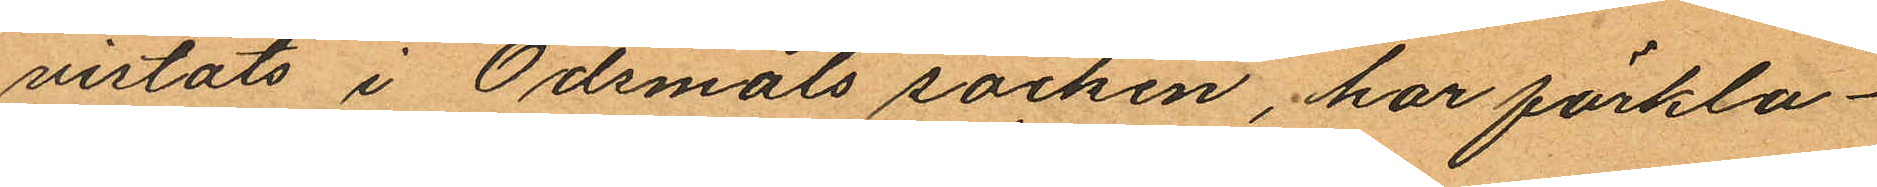vistats i Ödmåls socken, har förkla¬
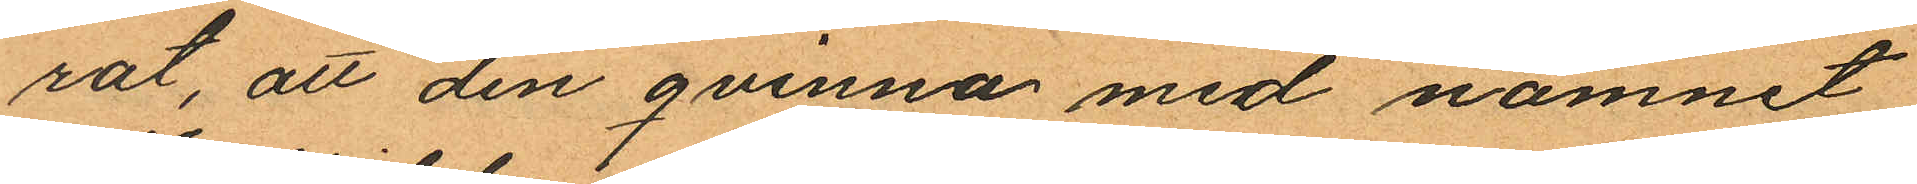rat, att den qvinna med namnet
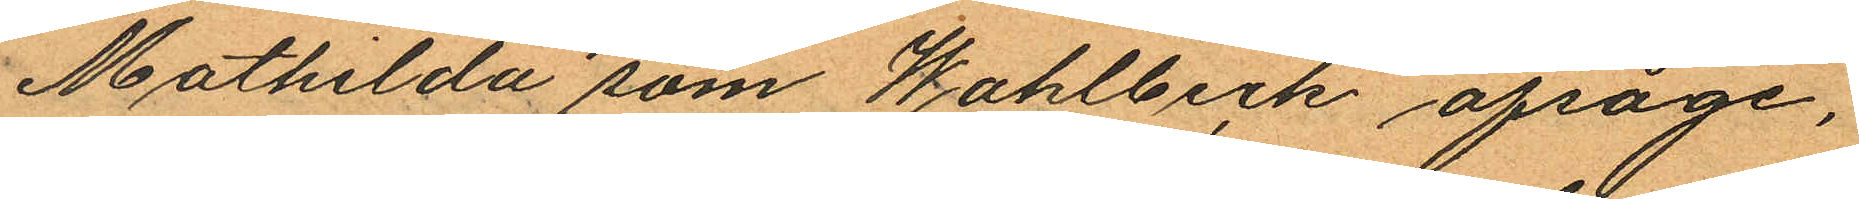Mathilda som Wahlbeck afsåge,
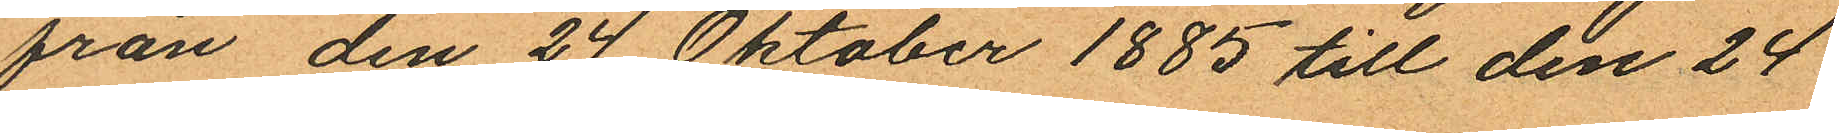från den 24 Oktober 1885 till den 24
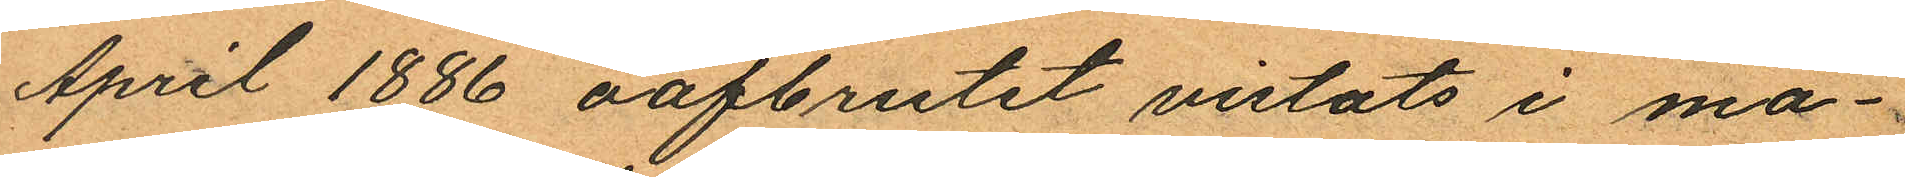April 1886 oafbrutet vistats i ma¬
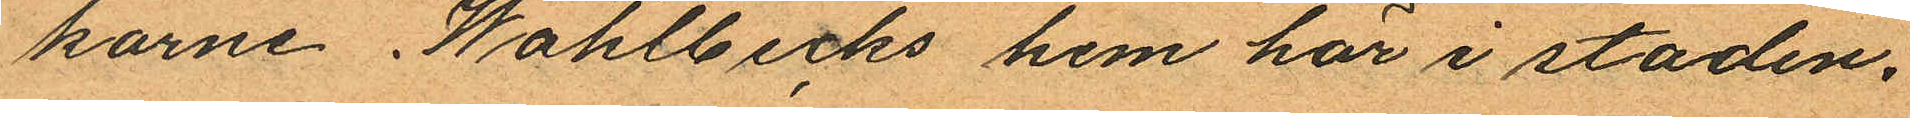karne Wahlbecks hem här i staden.
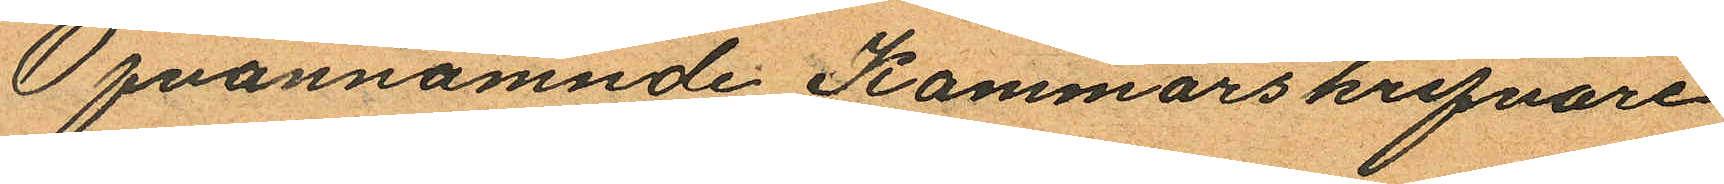Ofvannämnde Kammarskrifvare
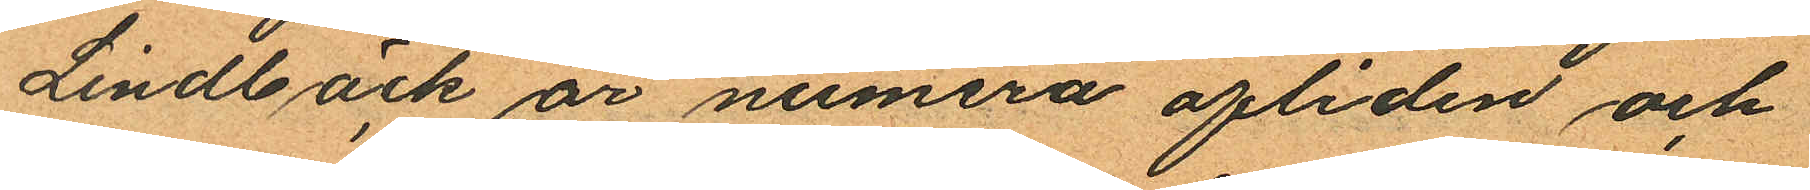Lindbäck år numera afliden och
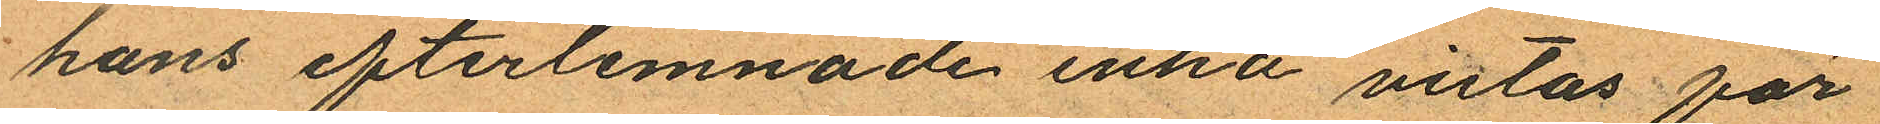hans efterlemnade enka vistas för
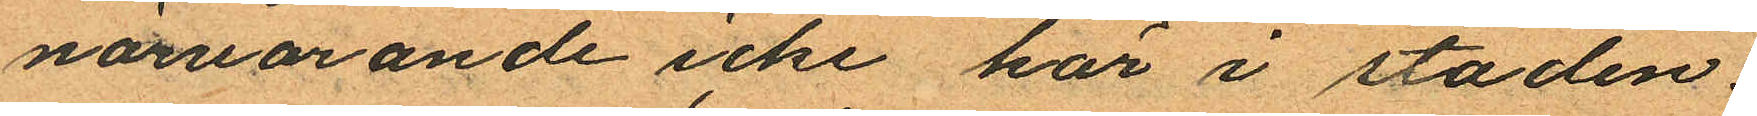närvarande icke här i staden.
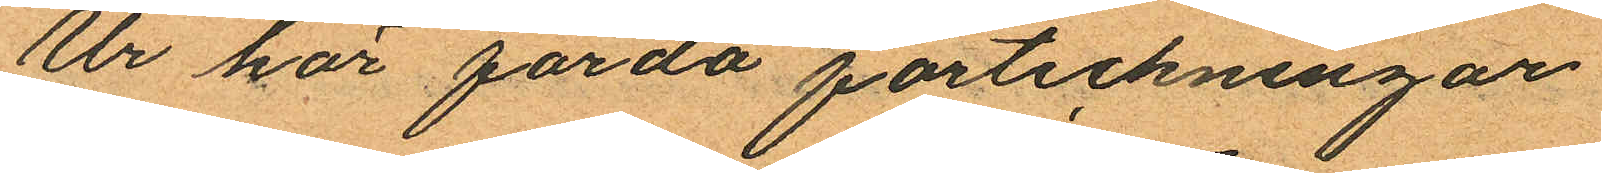Ur här förda förteckningar
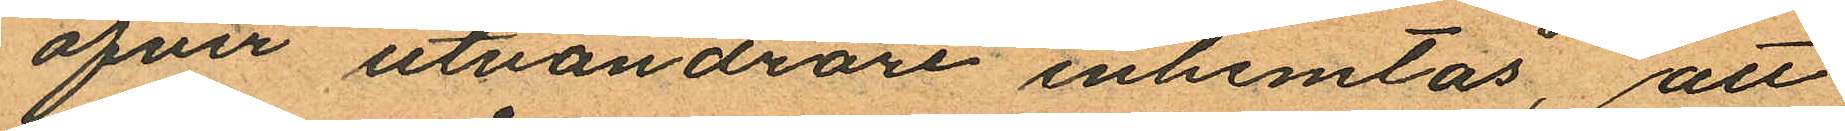öfver utvandrare inhemtas, att
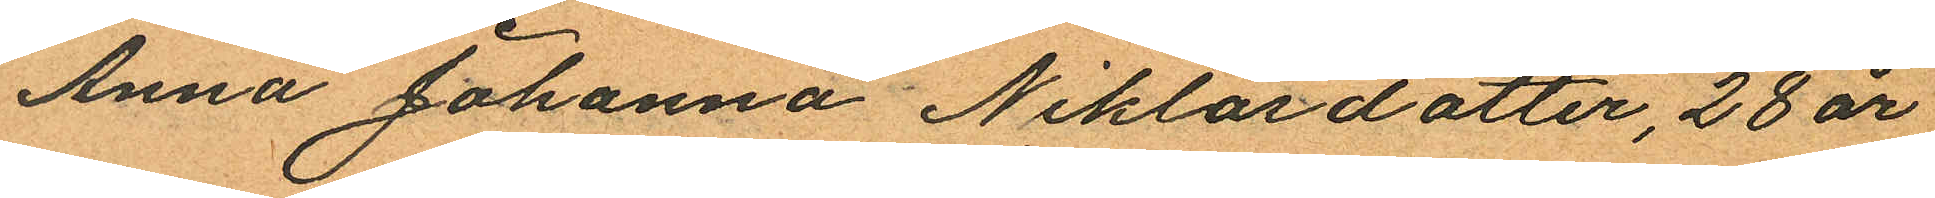Anna Johanna Niklasdotter, 28 år
